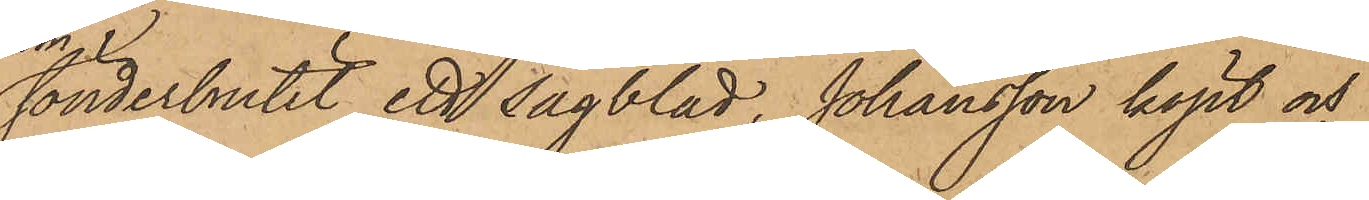sönderbrutit ett sågblad, Johansson köpt och
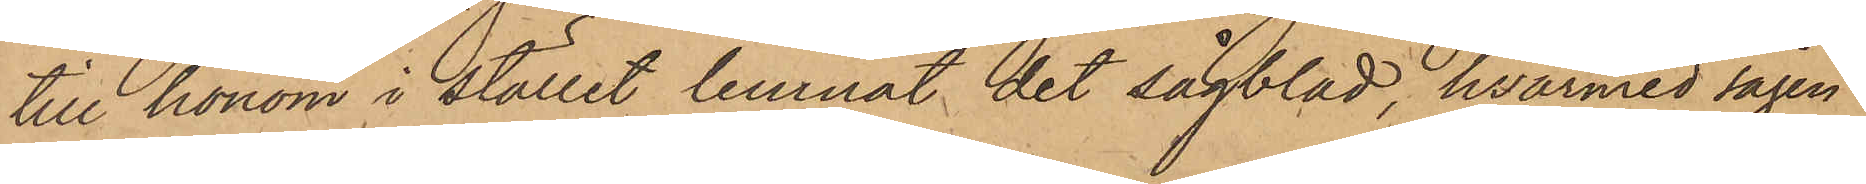till honom i stället lemnat det sågblad, hvarmed sågen
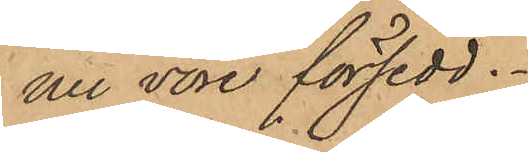nu vore försedd.
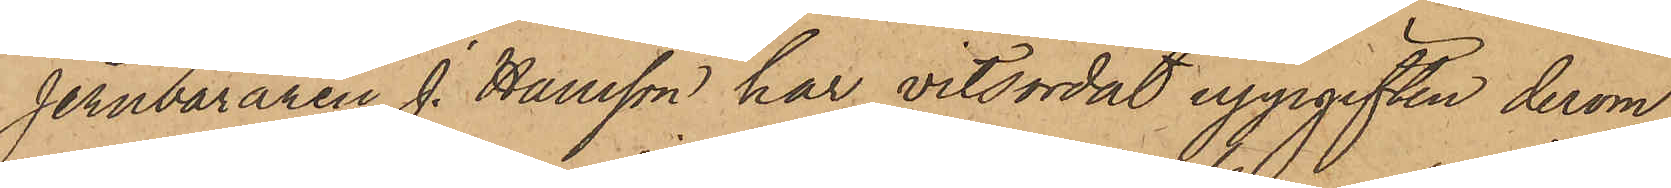Jernbäraren J. Hansson har vitsordat uppgiften derom,
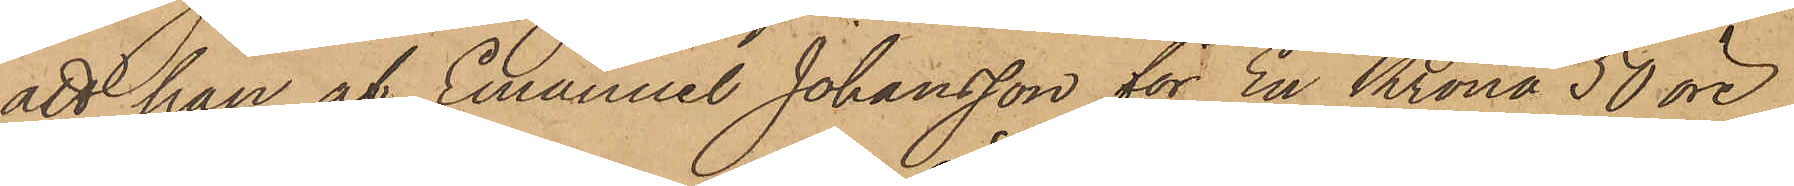att han af Emanuel Johansson för En Krona 50 öre
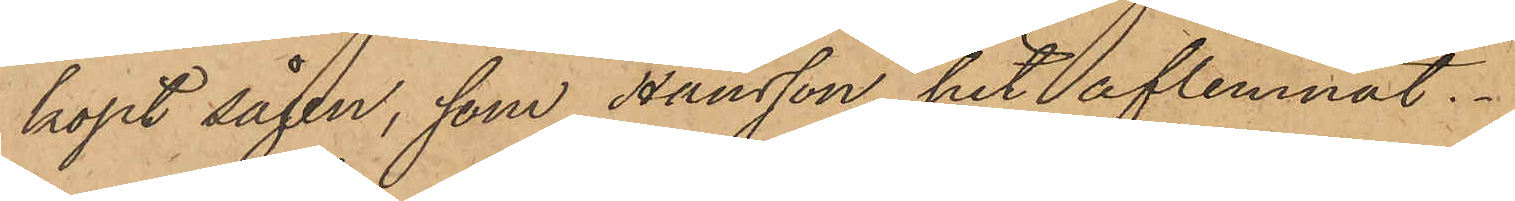köpt sågen, som Hansson hit aflemnat.
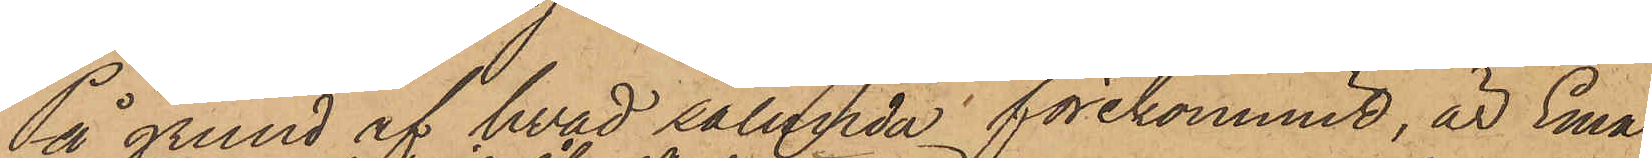På grund af hvad sålunda förekommit, är Ema¬
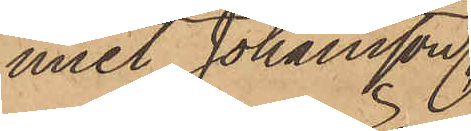muel Johansson,
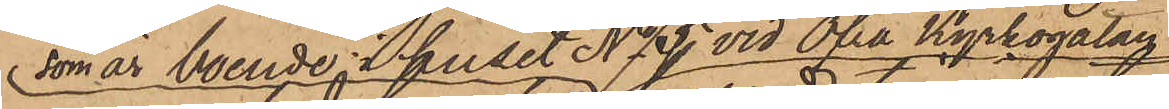som är boende i huset No 5 vid Öfra Kyrkogatan
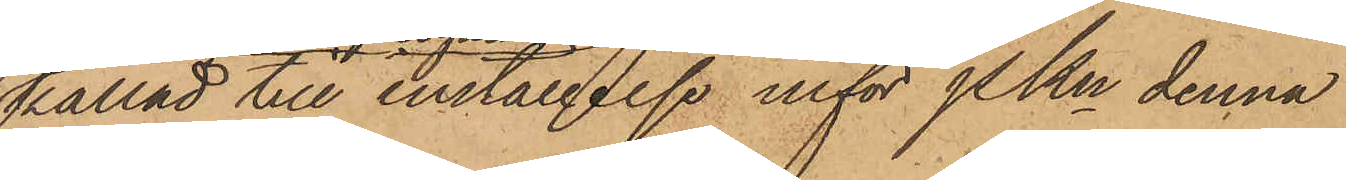kallad till inställelse inför Pkn denna
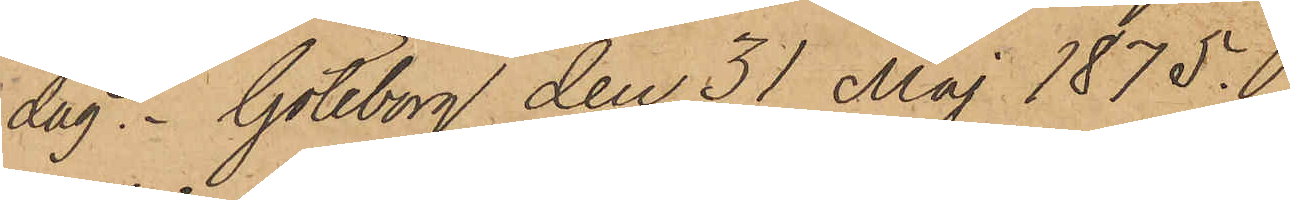dag. Göteborg den 31 Maj 1875.
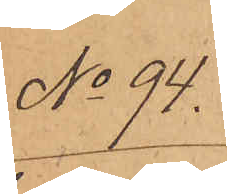No 94.
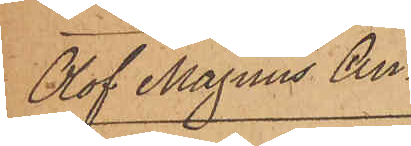Olof Magnus An¬
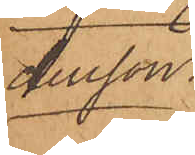dersson.
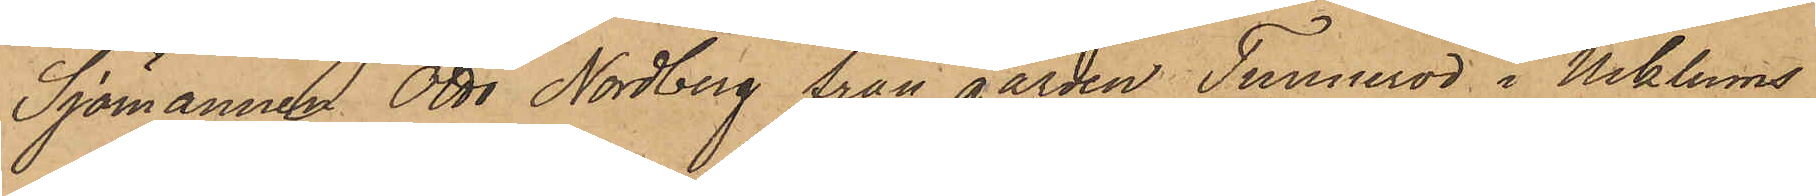Sjömannen Otto Nordberg från gården Tunneröd i Ucklums
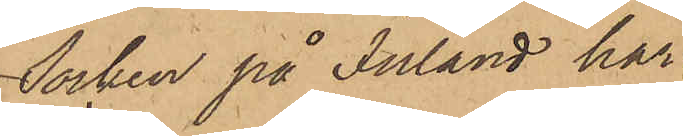Socken på Inland har
